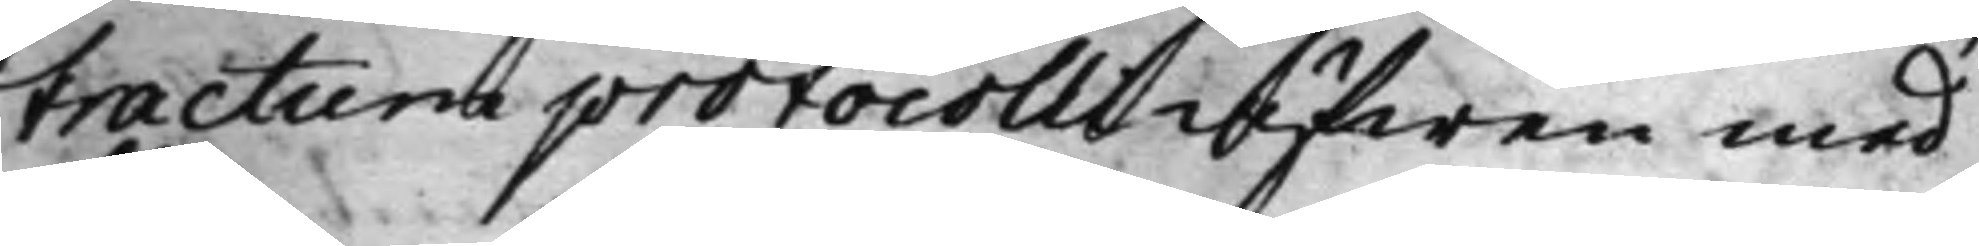tractum protocolli äfwen med
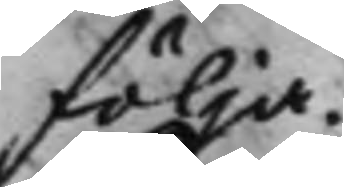följa.
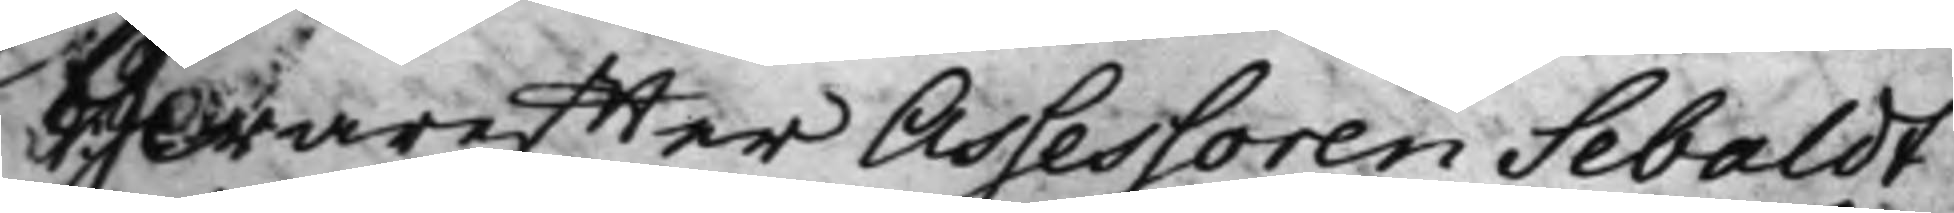Hwareffter Assessoren Sebaldt
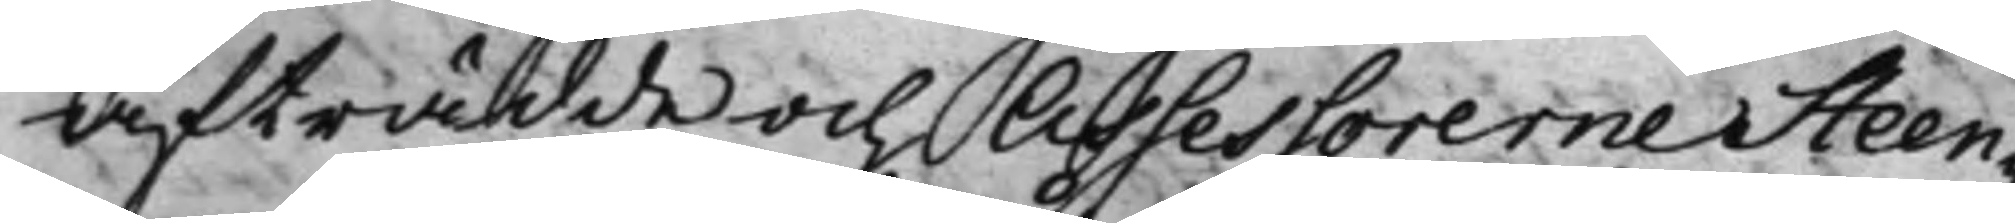afträdde och Assessorerne Steen¬
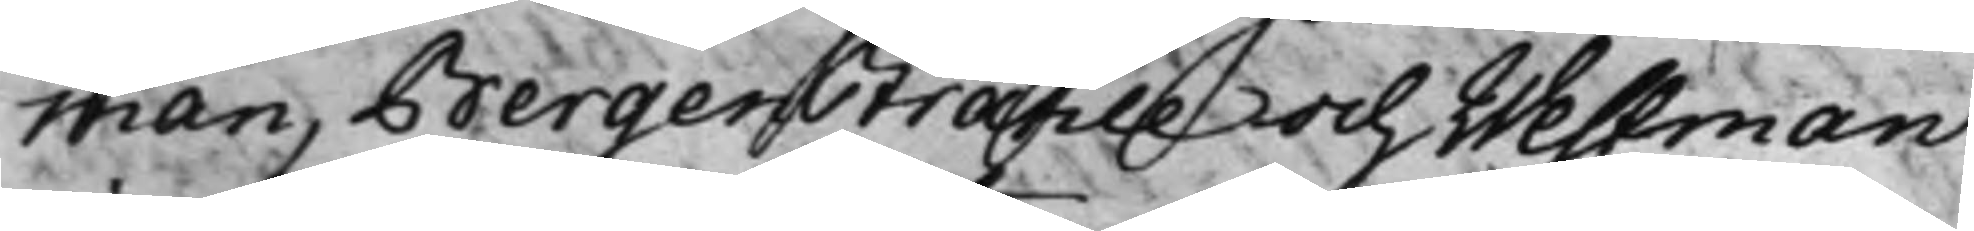man, Bergenstråhle och Westman
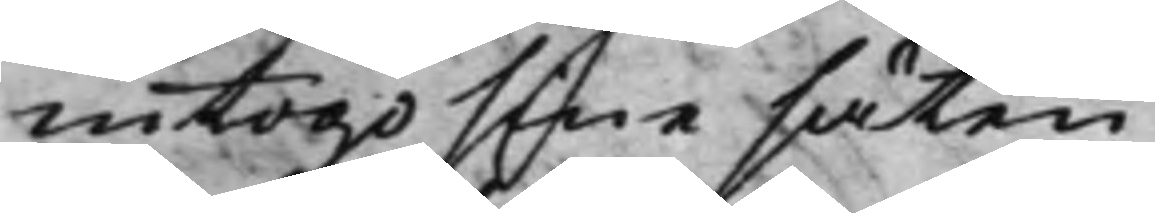intogo sine säten.
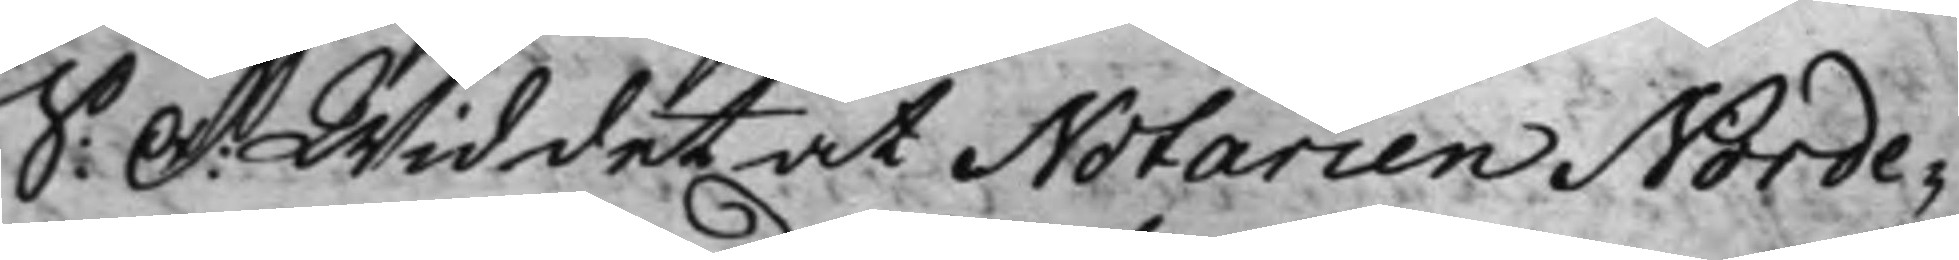S: D: Wid det at Notarien Norde¬
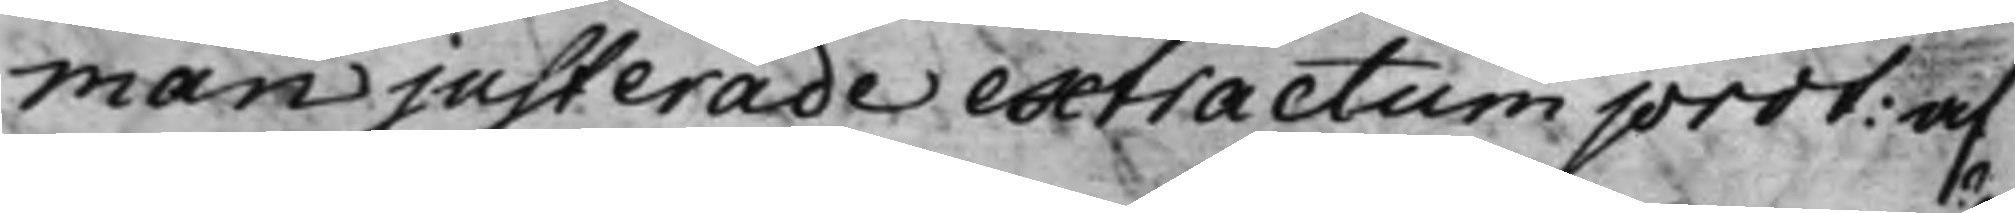man justerade extractum prot: af
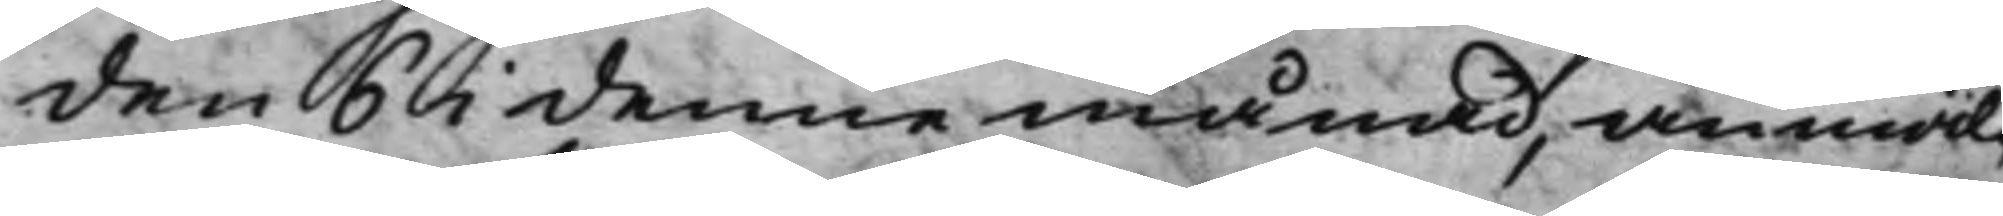den 6 i denne månad, anmäl¬
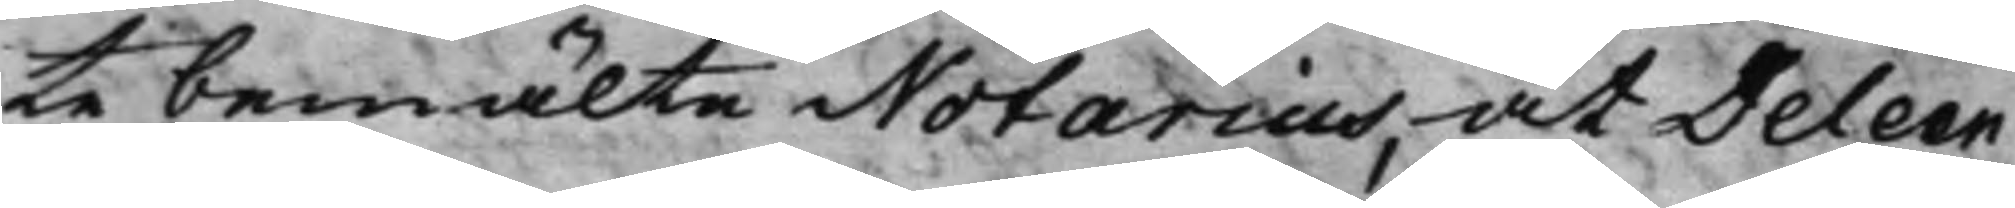te bemälte Notarius, at Deleen
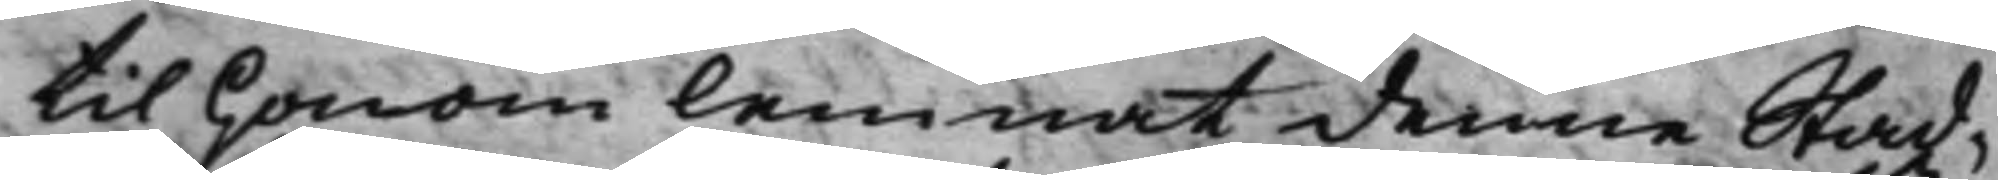til honom lemnat denne Stad¬
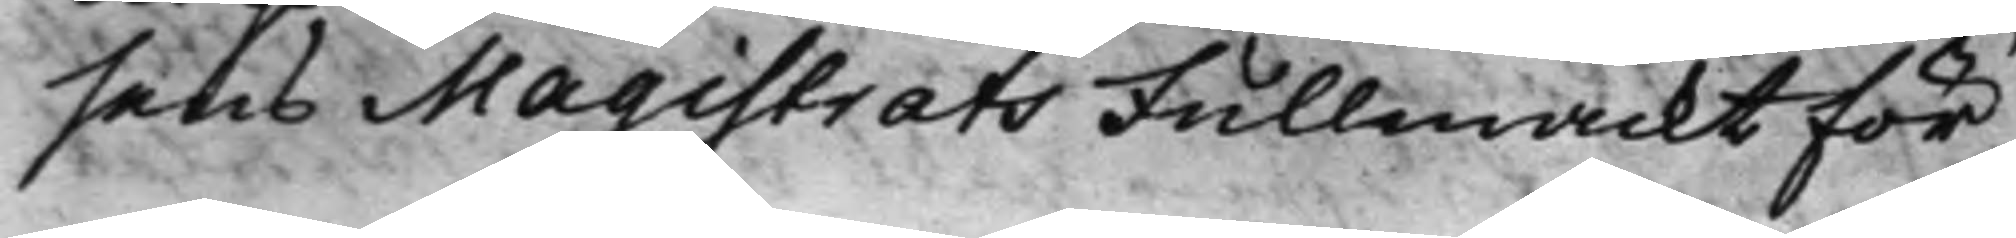sens Magistrats Fullmackt för
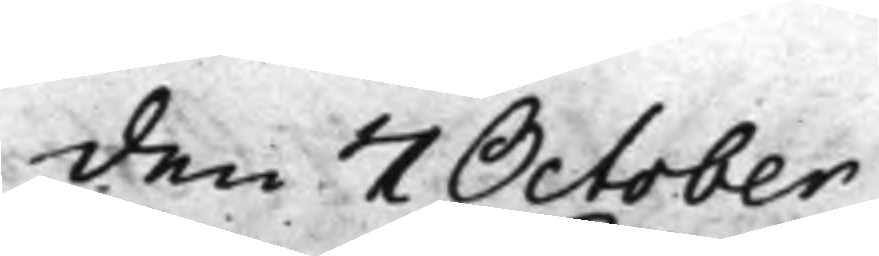den 7 October
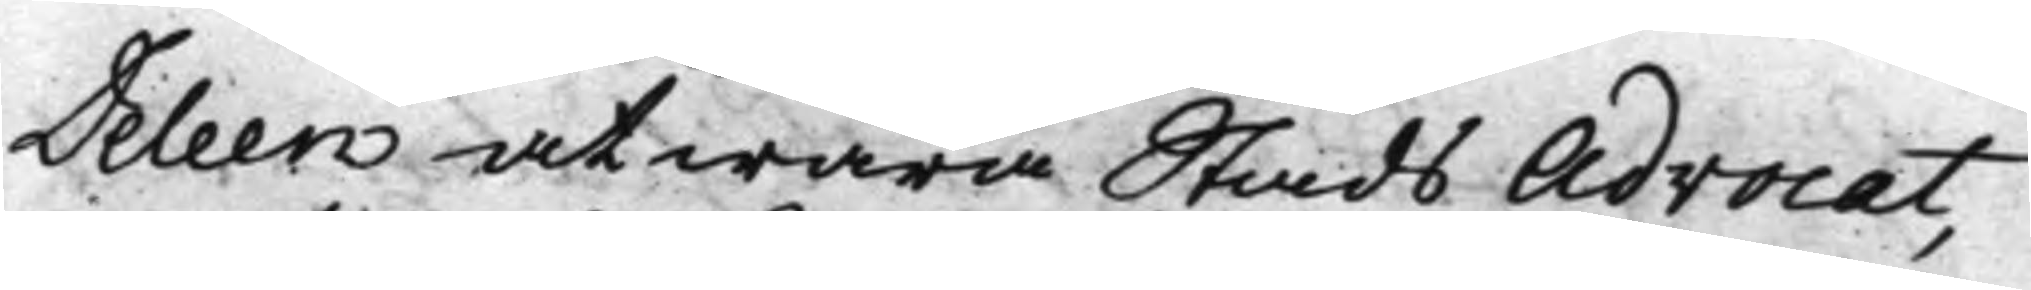Deleen at wara Stads Advocat,
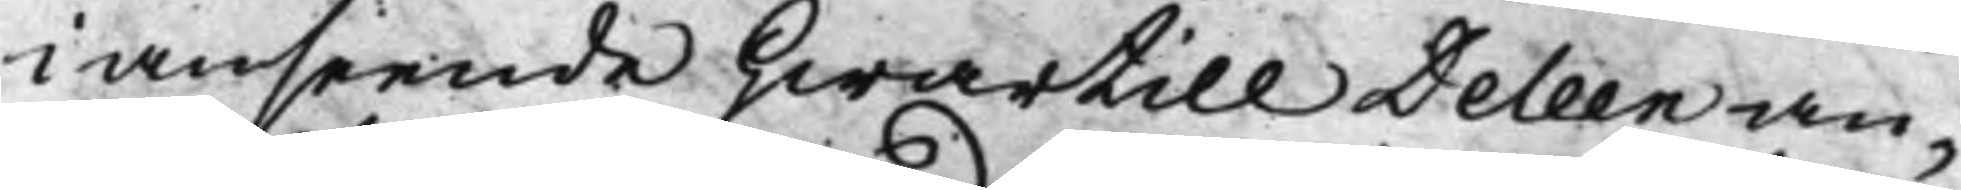i anseende hwartill Deleen an¬
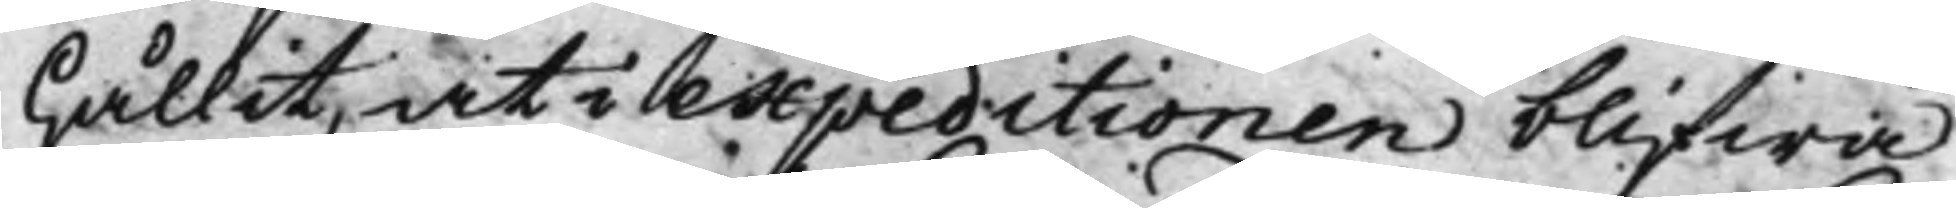hållit, at i expeditionen blifwa
